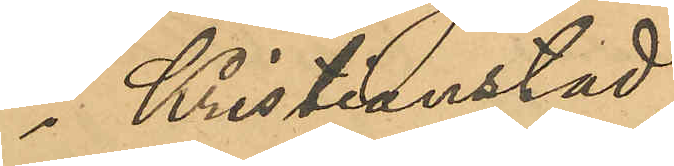i Kristianstad,
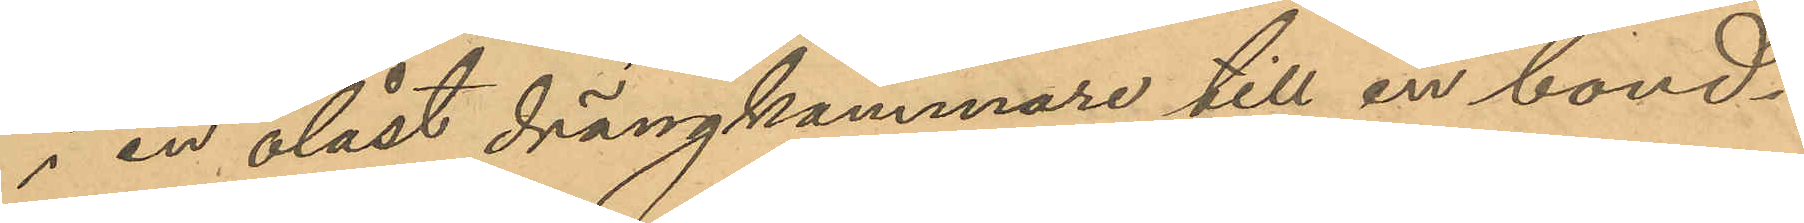i en olåst drängkammare till en bond¬
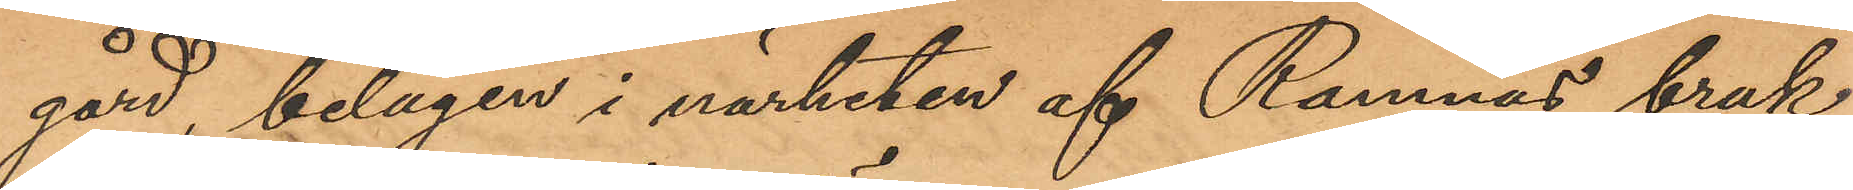gård, belägen i närheten af Ramnäs bruk
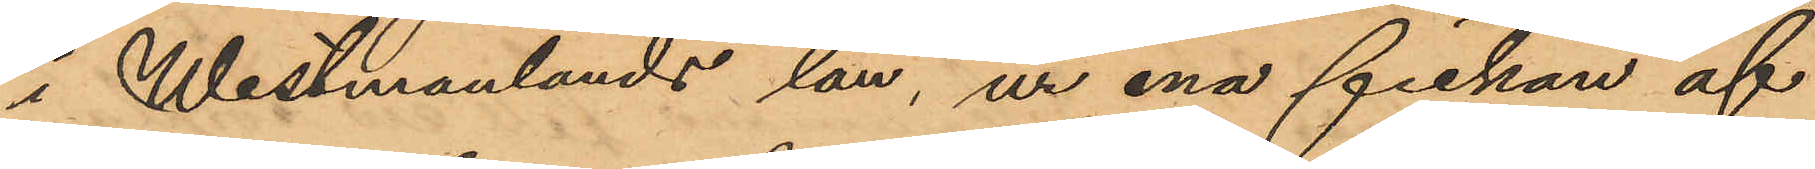i Westmanlands län, ur ena fickan af
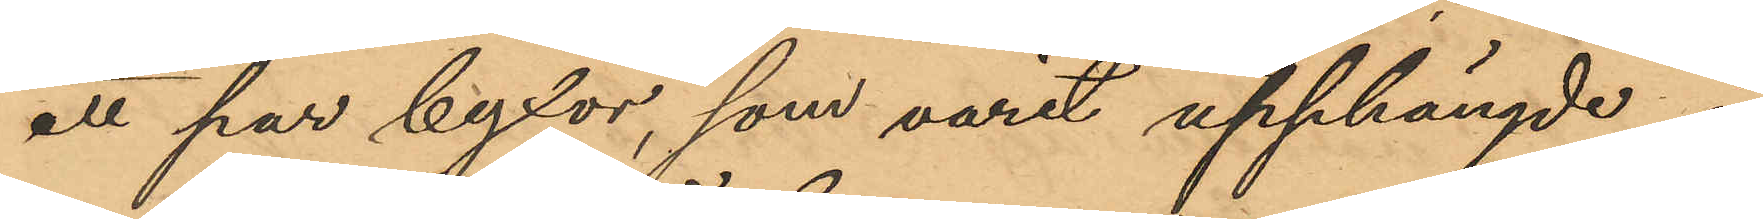att par byxor, som varit upphängde å
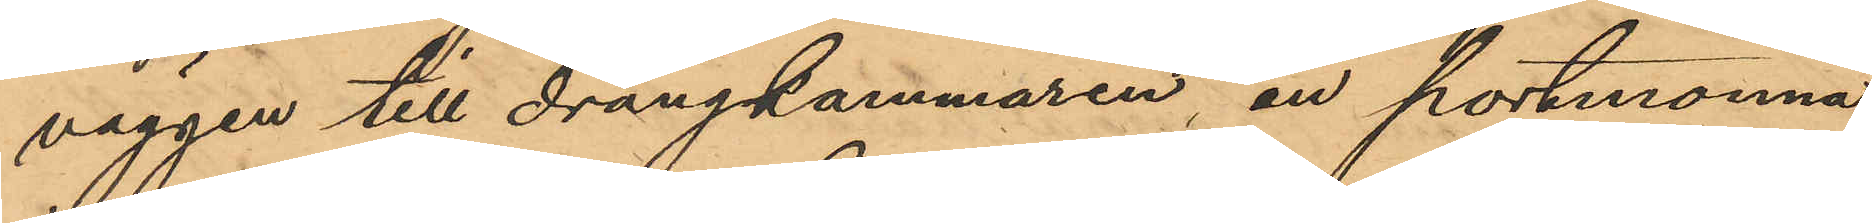väggen till drängkammaren, en portmonnä,
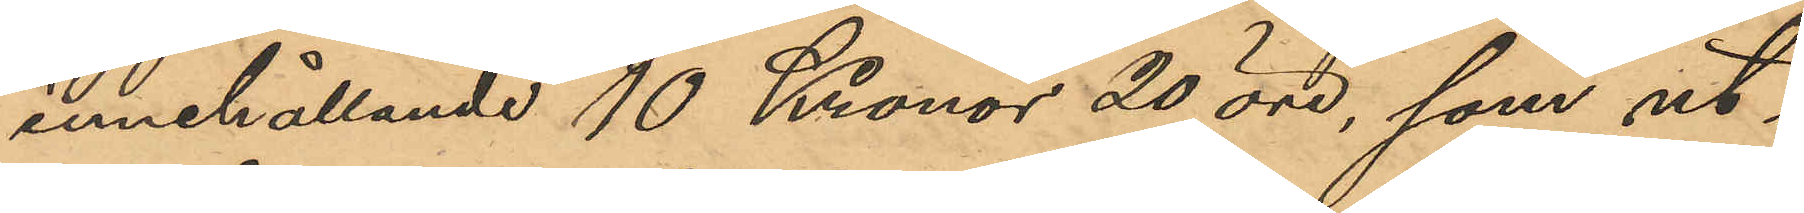innehållande 10 Kronor 20 öre, som ut¬
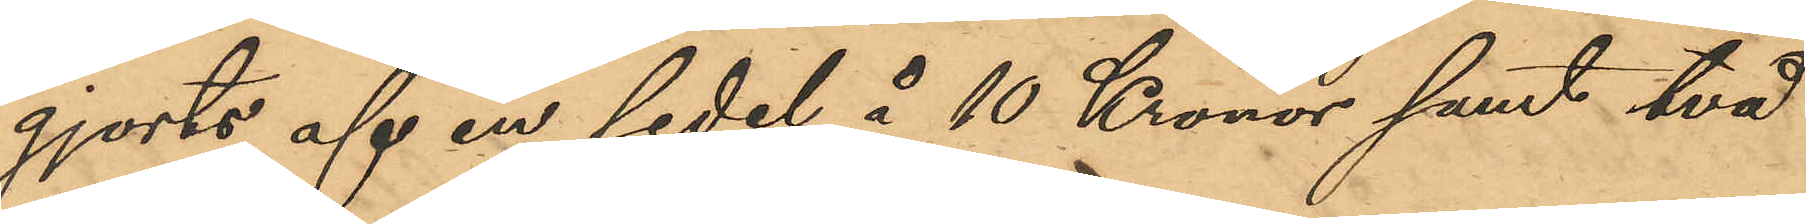gjorts af en sedel å 10 Kronor samt två
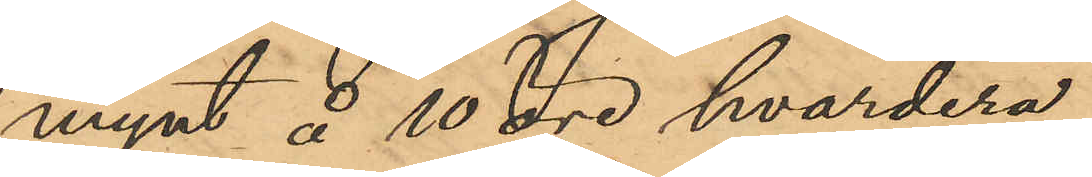mynt å 10 öre hvardera,
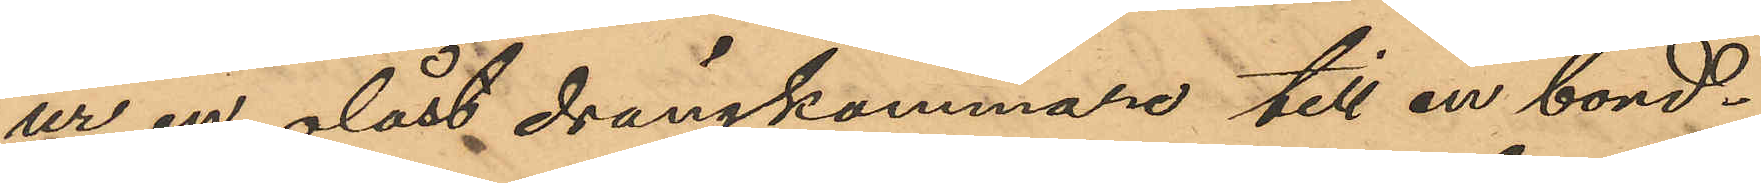ur en olåst drängkammare till en bond¬
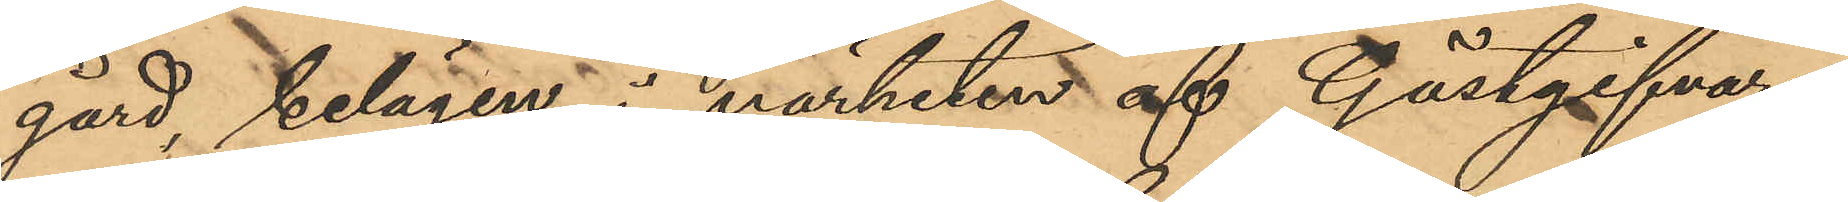gård, belägen i närheten af Gästgifvare¬
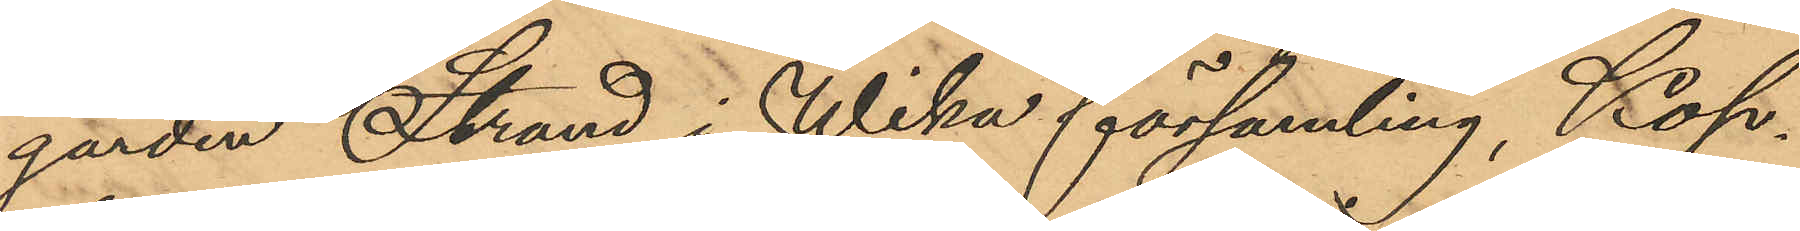gården Strand i Wika församling, Kop¬
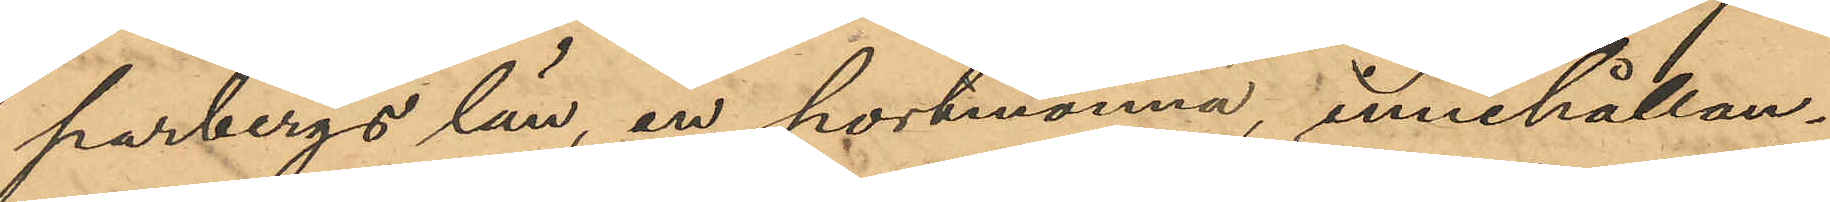parbergs län, en portmonnä, innehållan¬
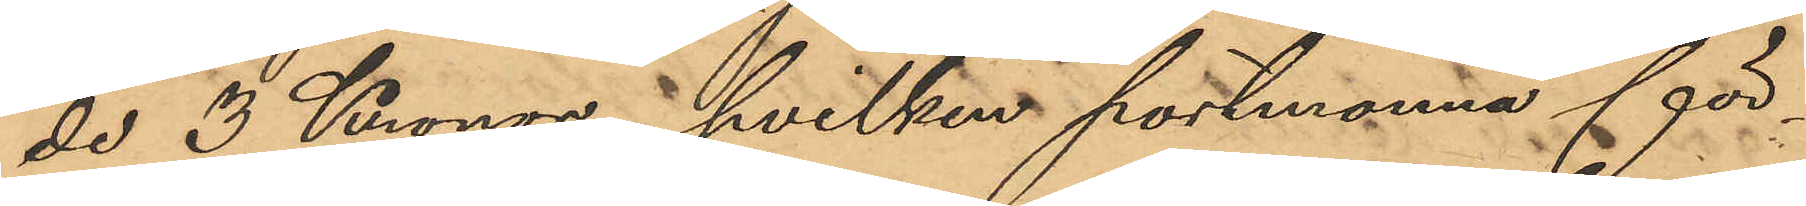de 3 Kronor, hvilken portmonnä för¬
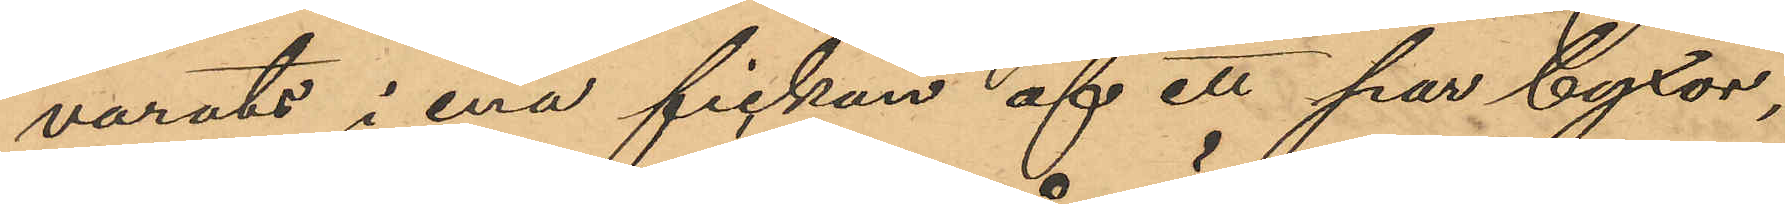varats i ena fickan af ett par byxor,
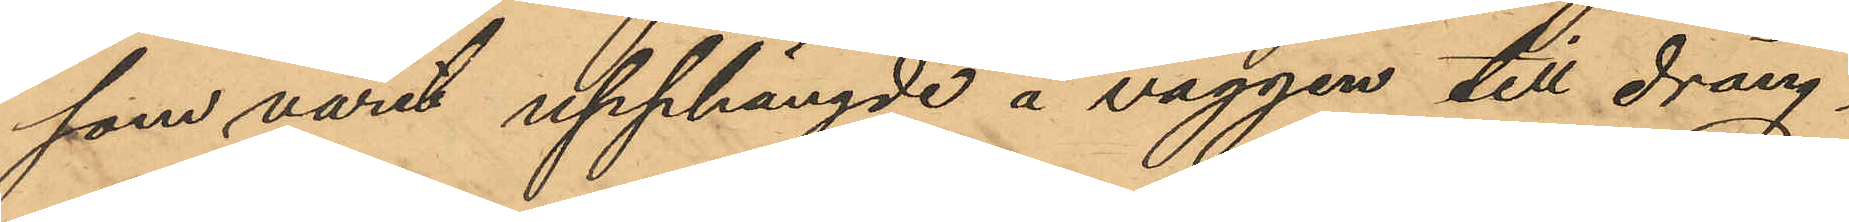som varit upphängde å väggen till dräng¬
